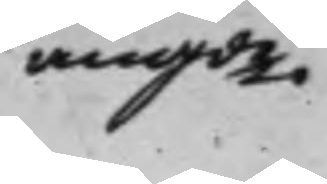angde.
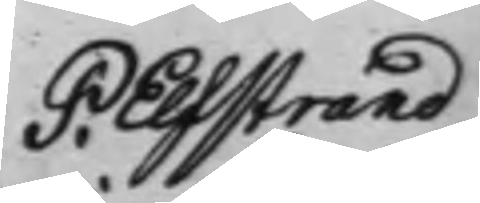P. Elfstrand
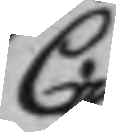C.
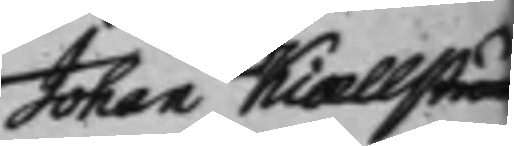Johan Kiællström
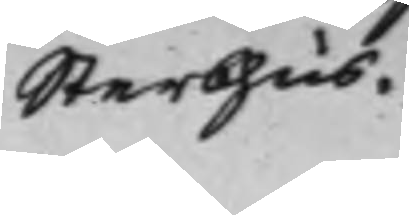Sterbhus.
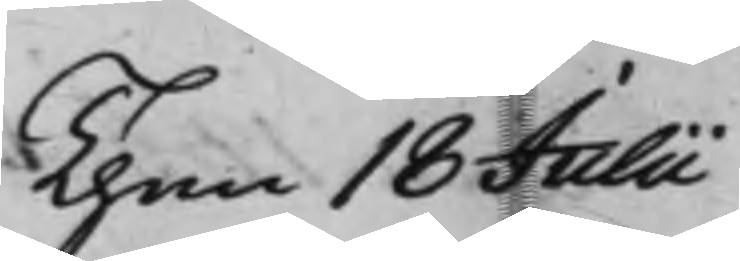den 18 Julii
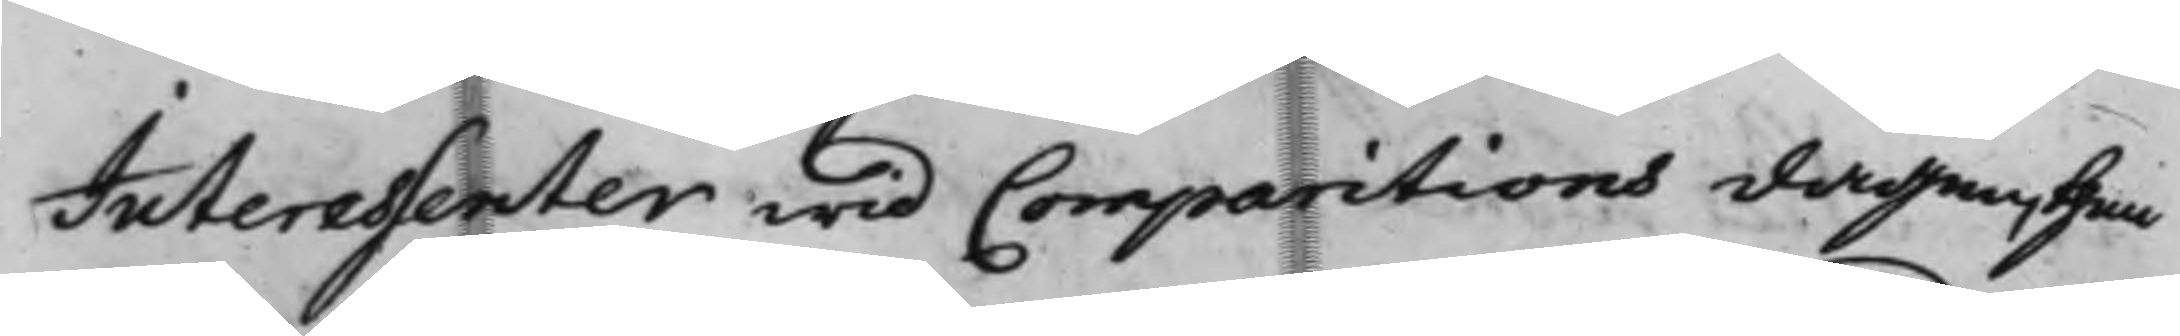Interessenter wid Comparitions dagen, then
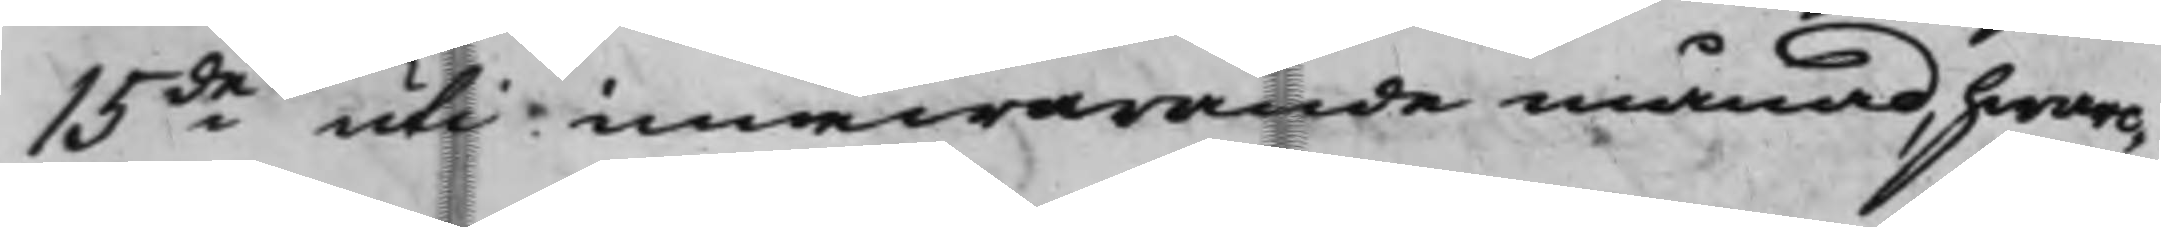15de uti innewarande månad, hwar¬
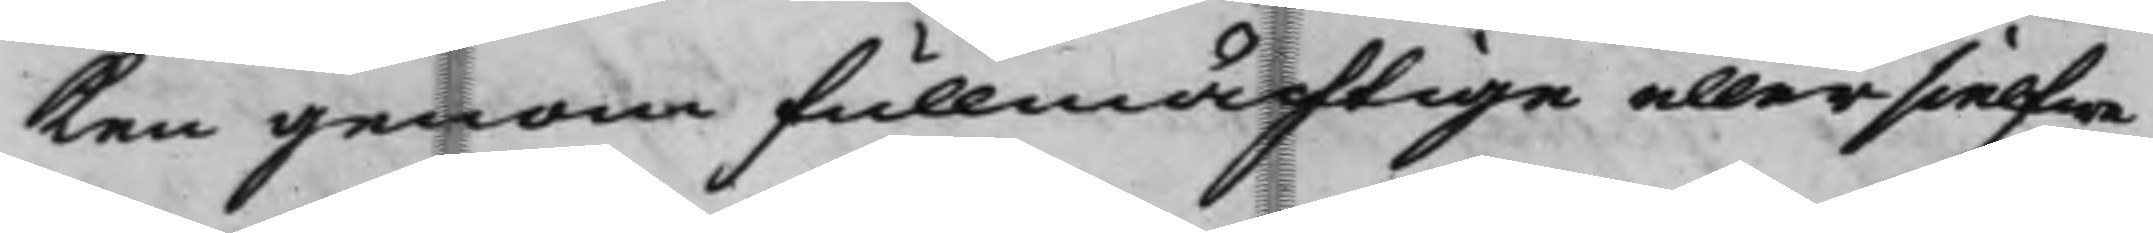ken genom fullmächtige eller sielfwa
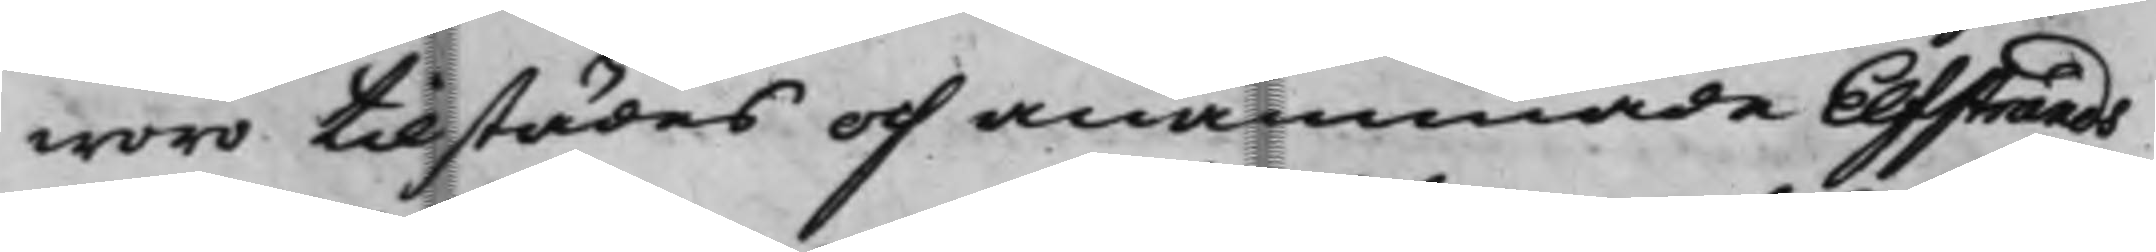woro tillstädes och anammade Elfstrands
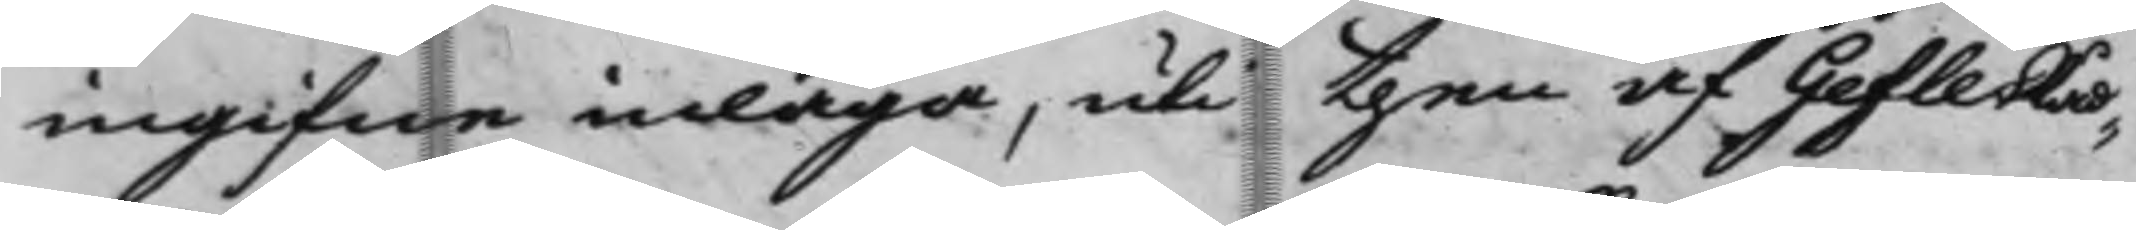ingifne inlaga, uti then af Gefle Råd¬
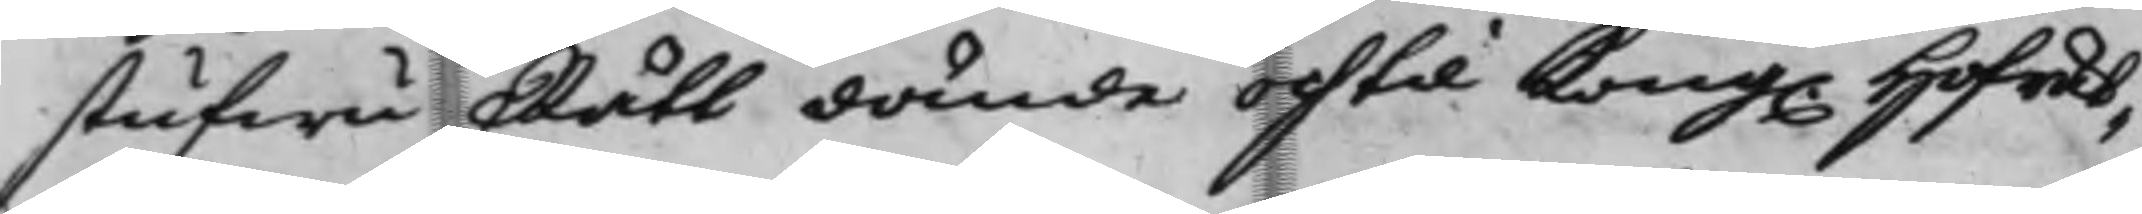stufwu Rätt dömde och til Kong. Hofrät¬
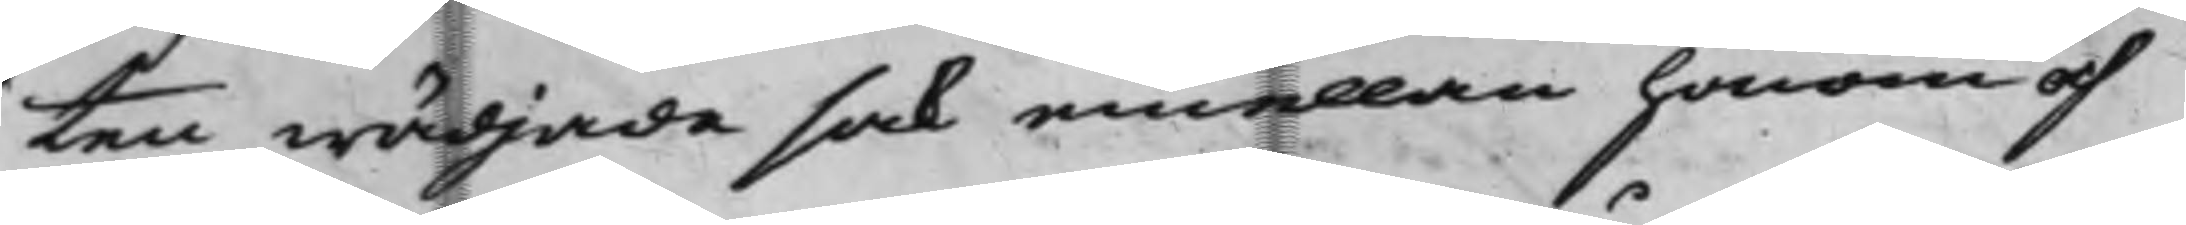ten wädjade sak emellan honom och
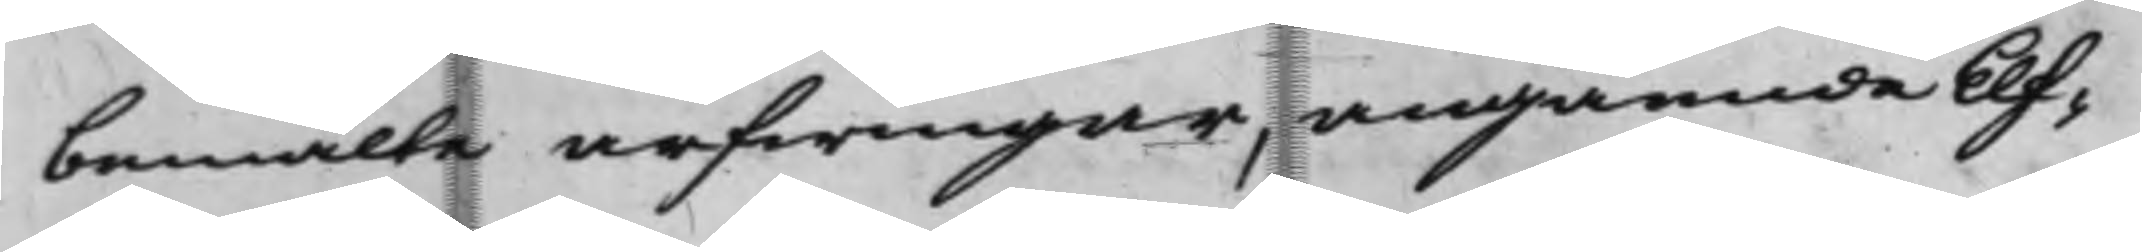bemälte arfwingar, angående Elf¬
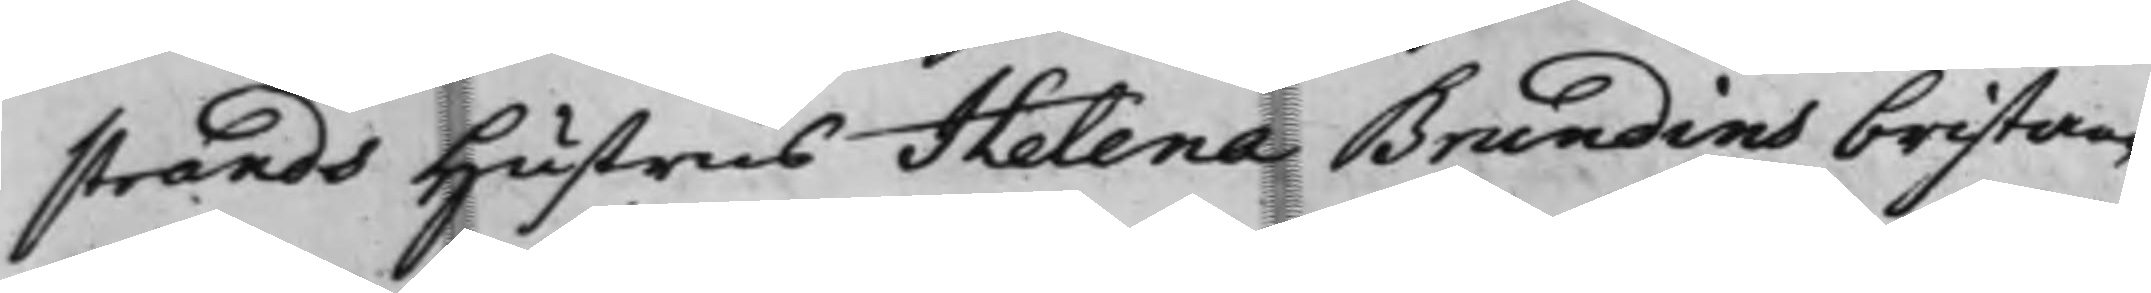strands Hustrus Helena Brundins bristan¬
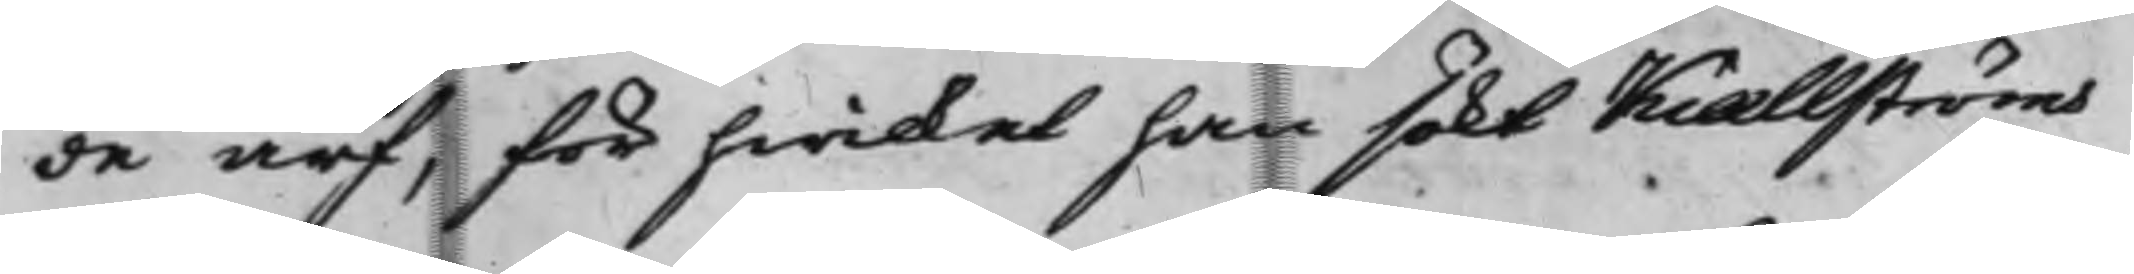de arf, för hwilket han sökt Kiællströms
